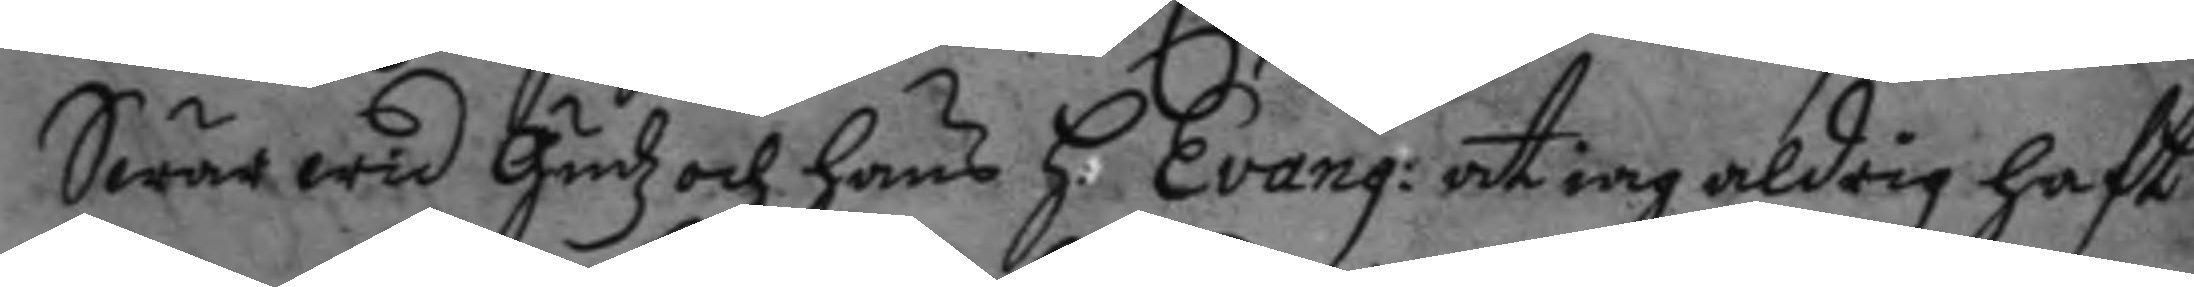Swär wid gudz och hans h. Evang: at iag aldrig haft
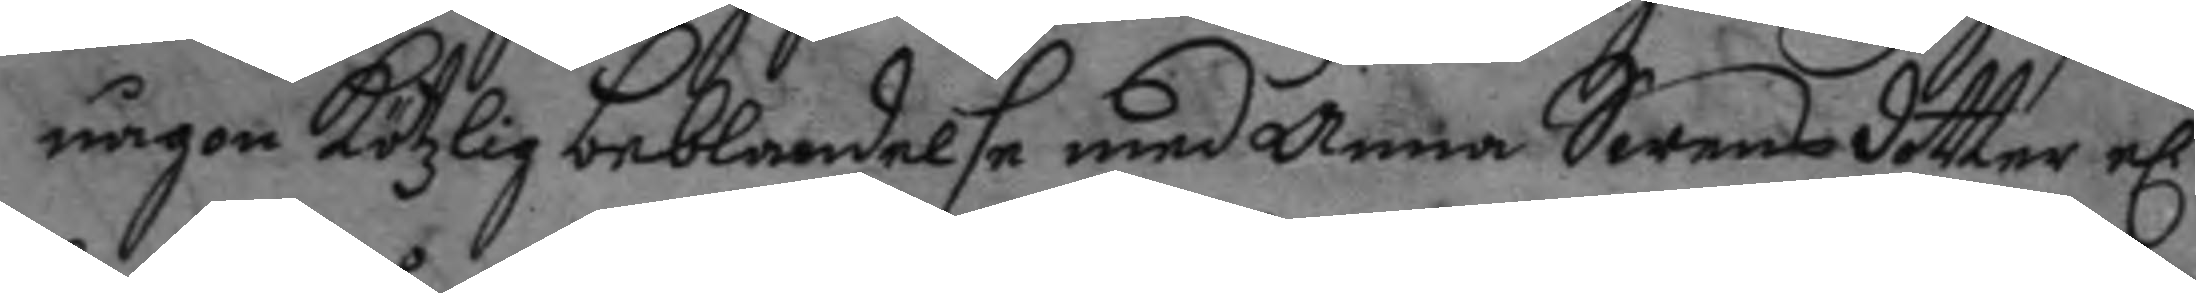någon kötzligbeblandelse med Anna Swensdotter el. 
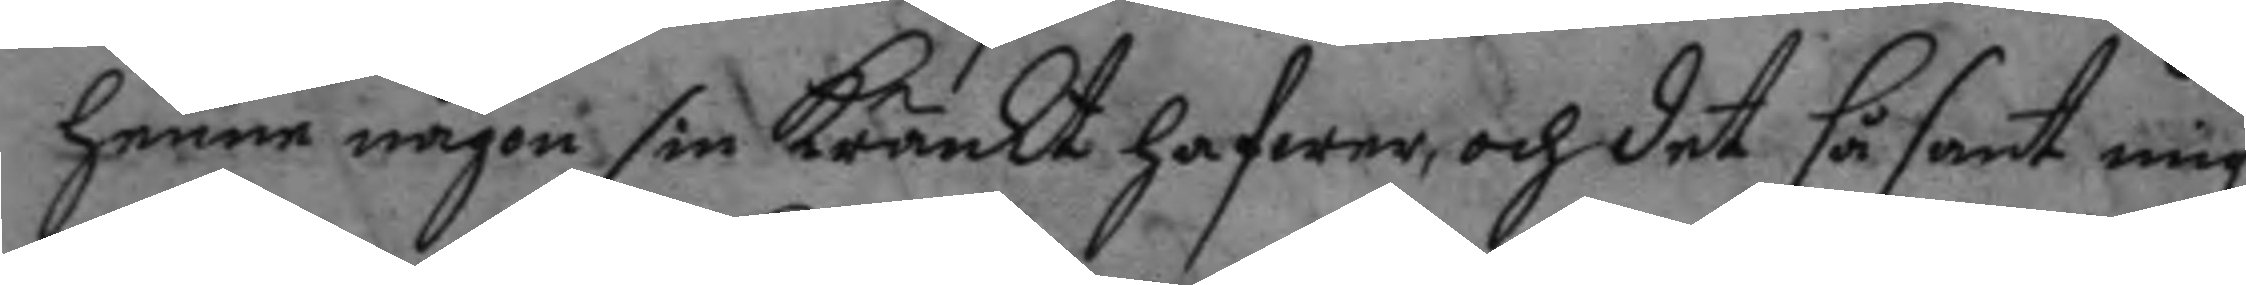henne någon sin kränkt hafwer, och det så sant mig
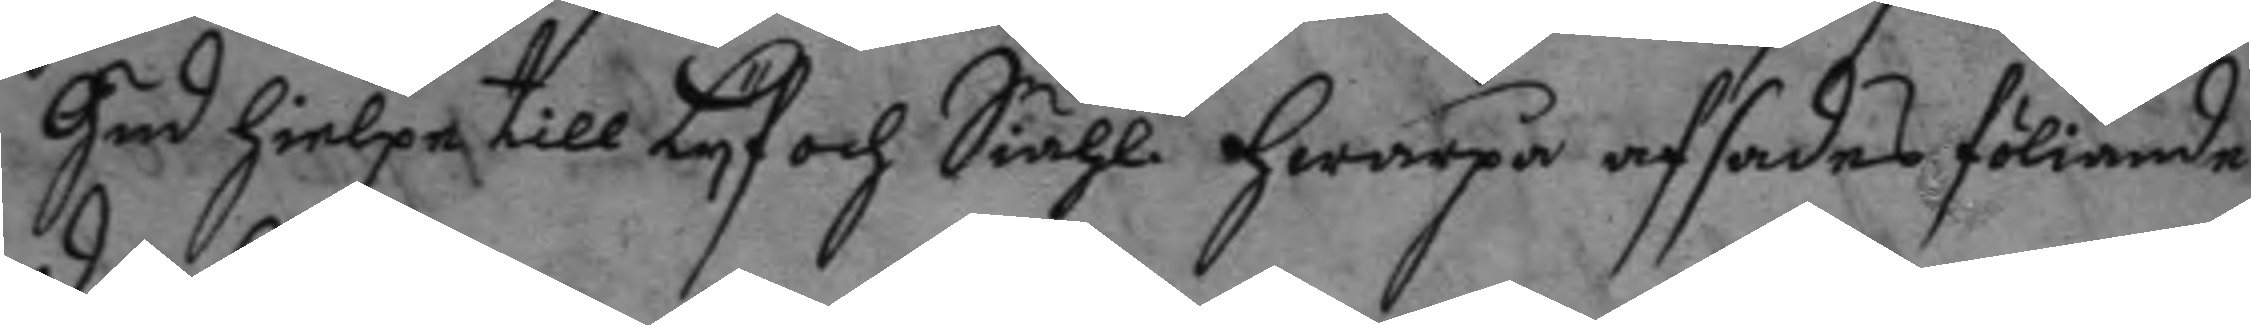gud hielpe till Lyf och Siähl hwarpå afsades föliande
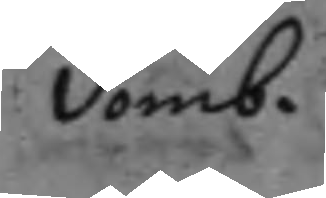domb.
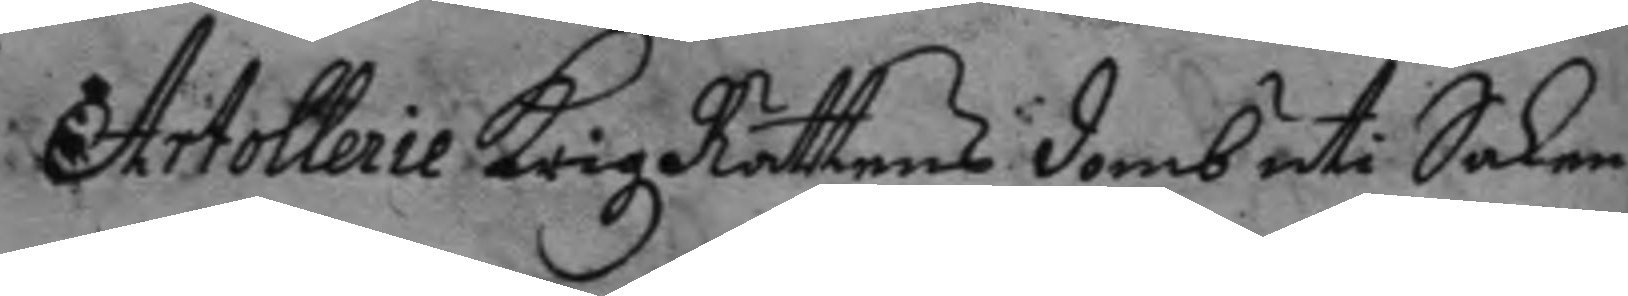Artollerie KrigzRättens domb uti Saken
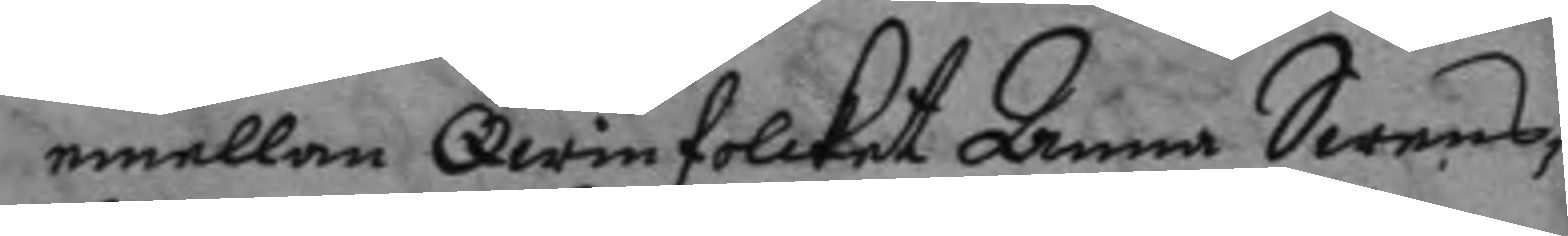emellan Qwinfolcket Anna Swens¬
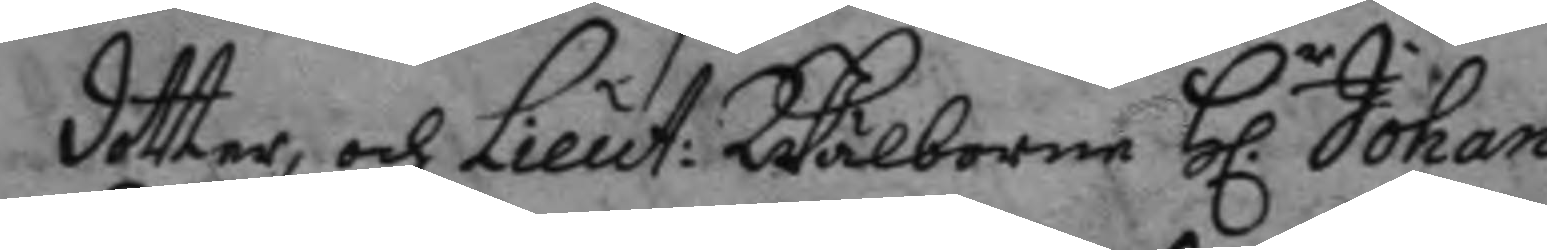dotter, och Lieut: Wälborne h.r Johan
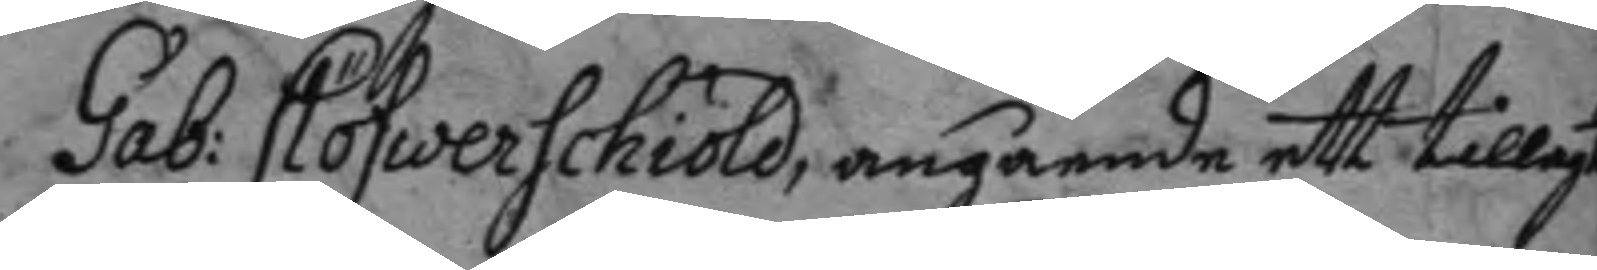Gab: Clöfwerschiöld, angående ett tillagt
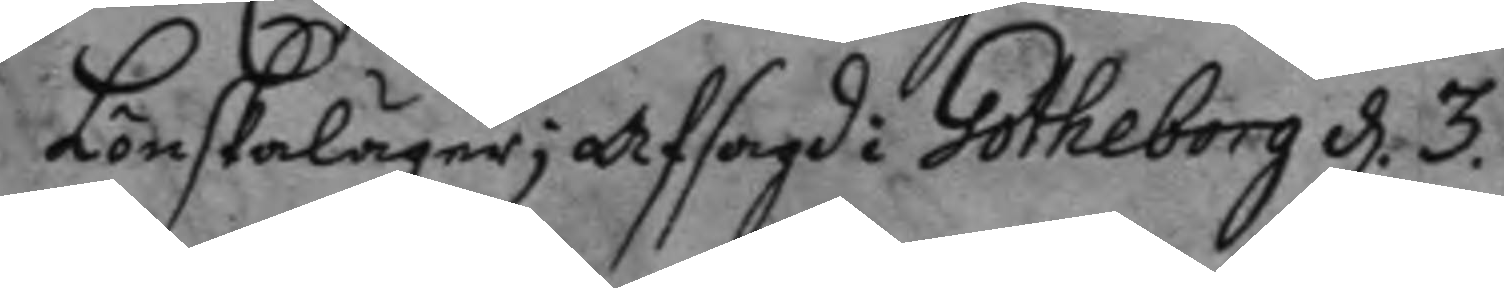Lönskaläger; afsagd i Götheborg d. 3.
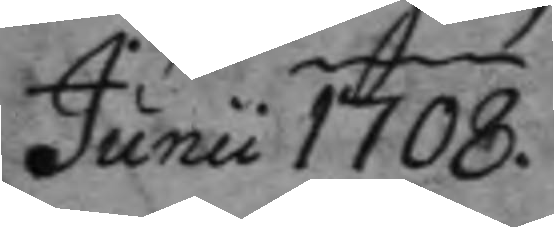Junii 1708.
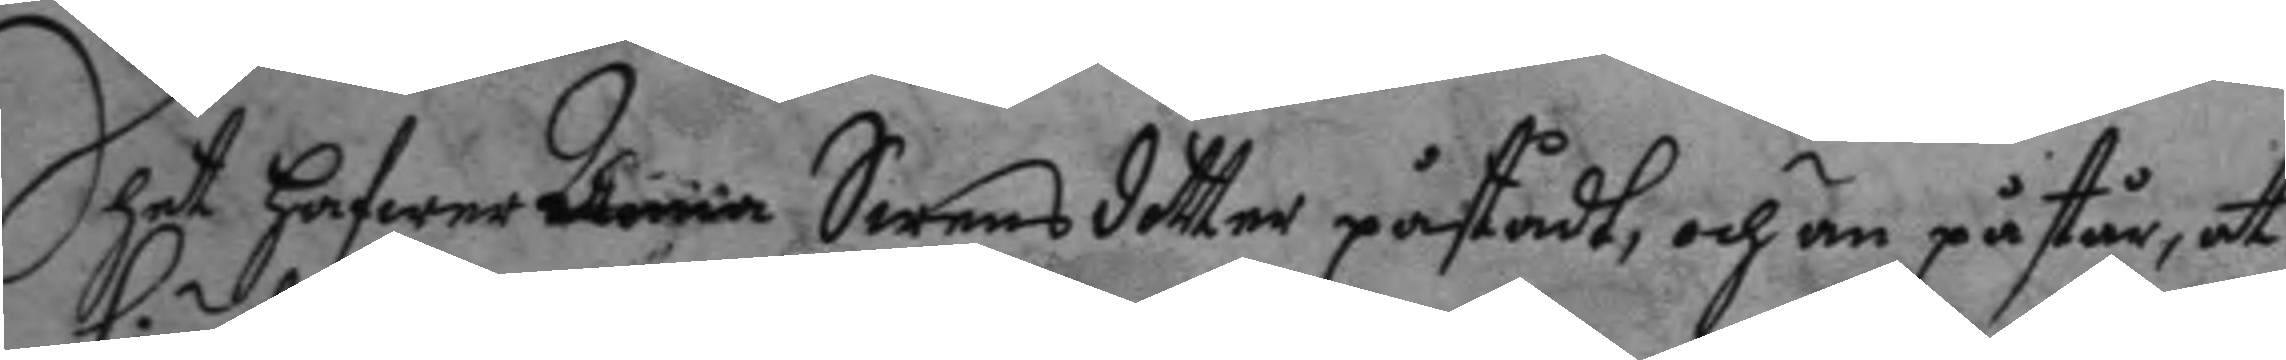Dhet hafwer Anna Swensdoter påstådt, och än påstår, at
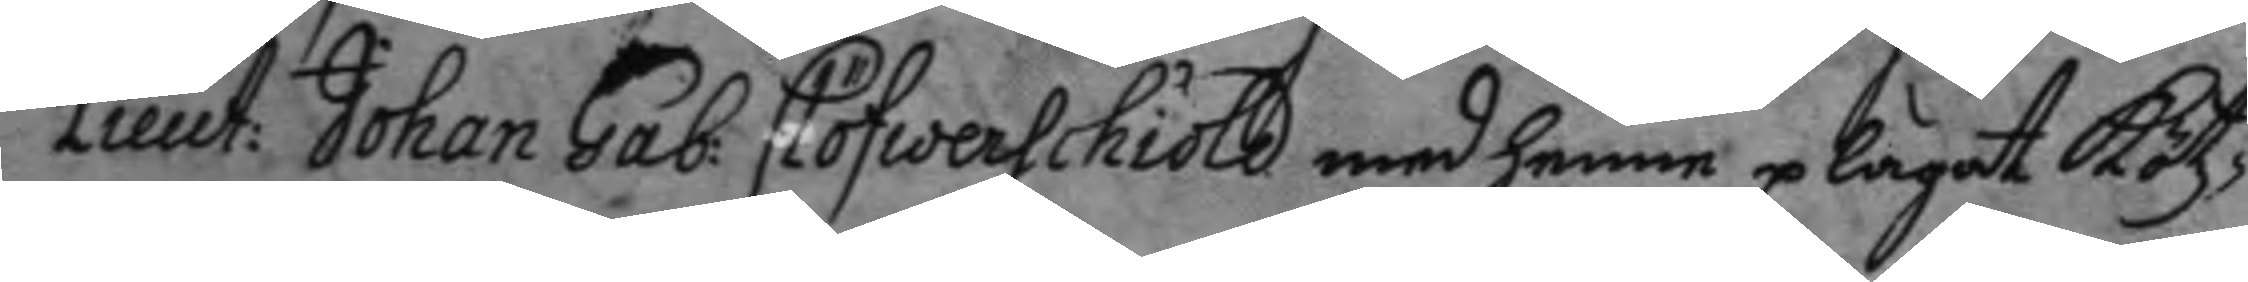Lieut: Johan Gab: Clöfwerschiöld med henne plägat kötz¬
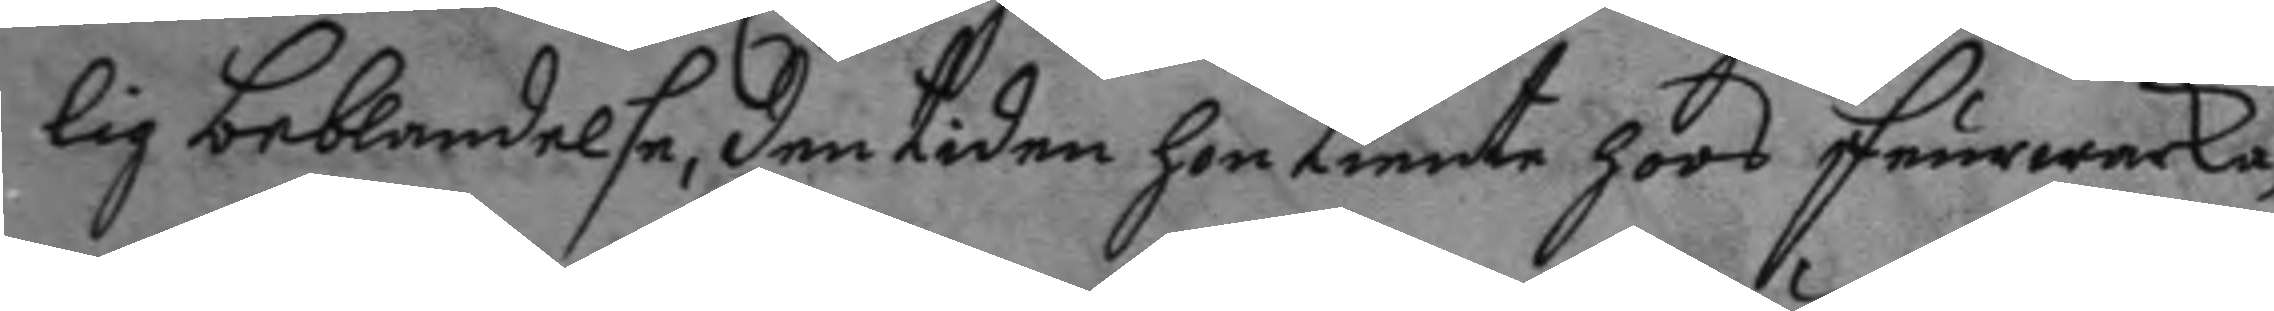lig beblandelse, den tiden hon tiente hoos feurwerka¬
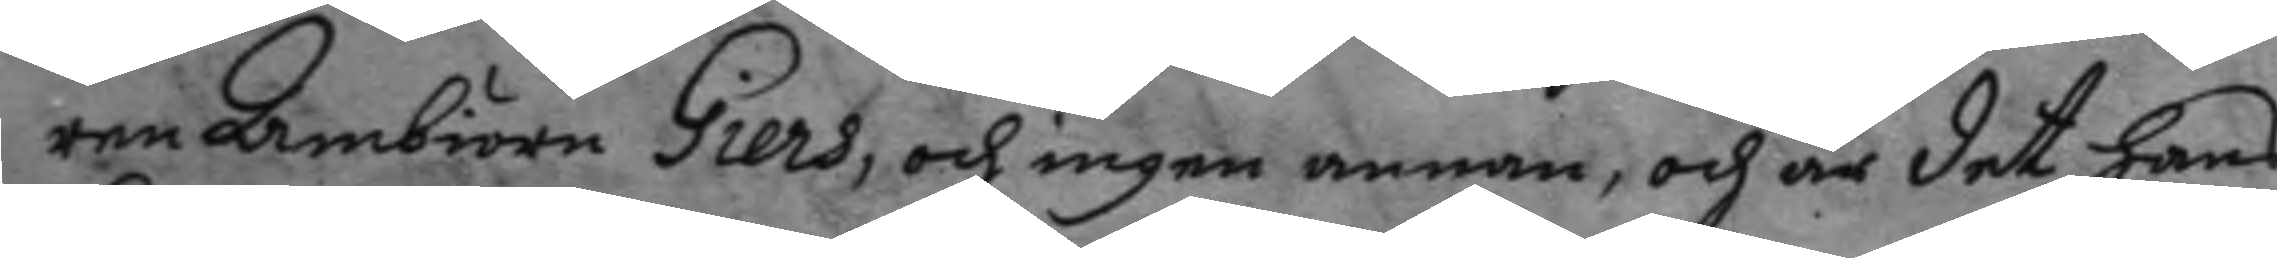ren Ambiörn Giers, och ingen annan, och det hans
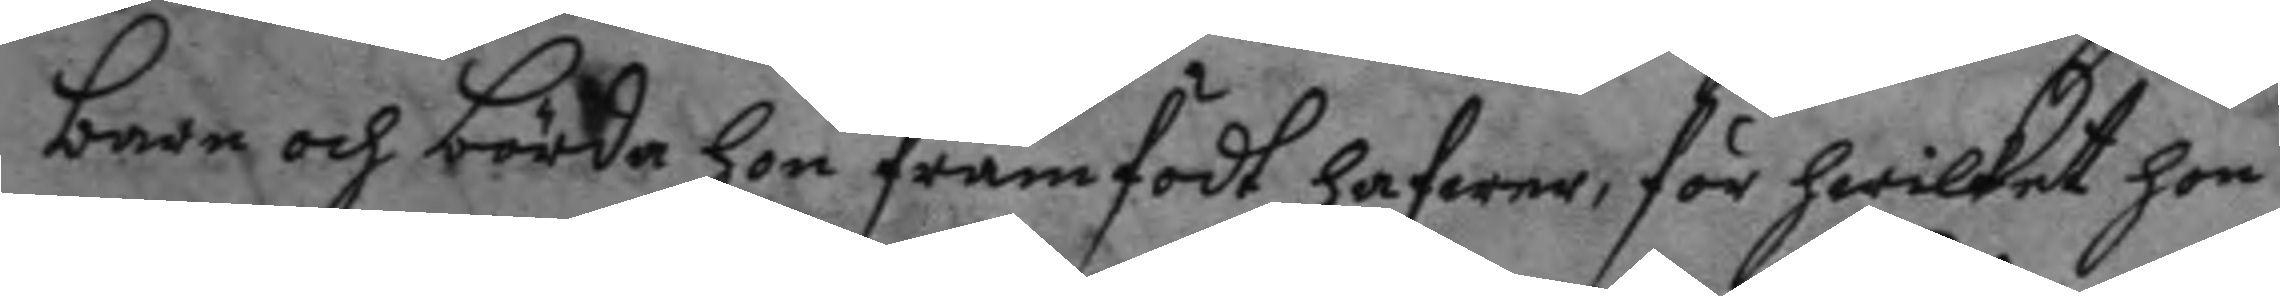barn och börda hon framfödt hafwer, för hwilket hon
